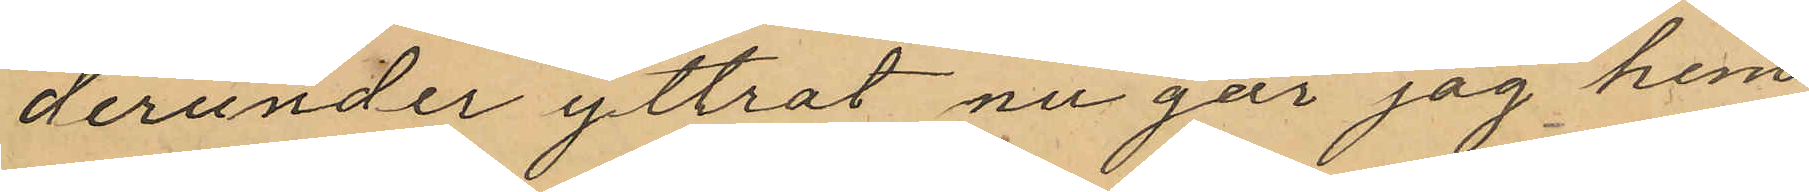derunder yttrat nu går jag hem
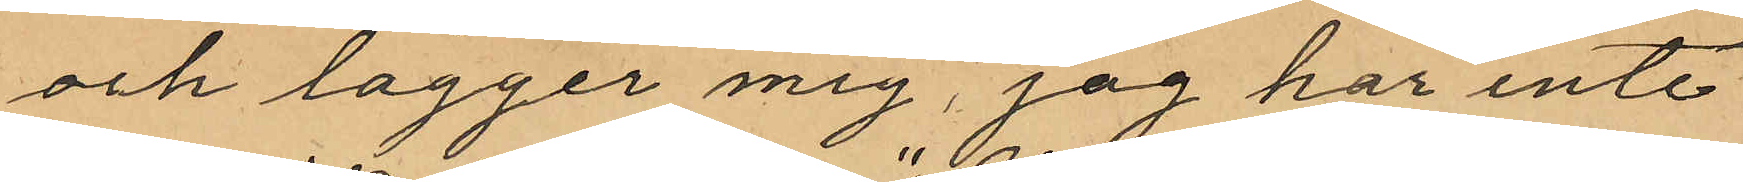och lägger mig, jag har inte
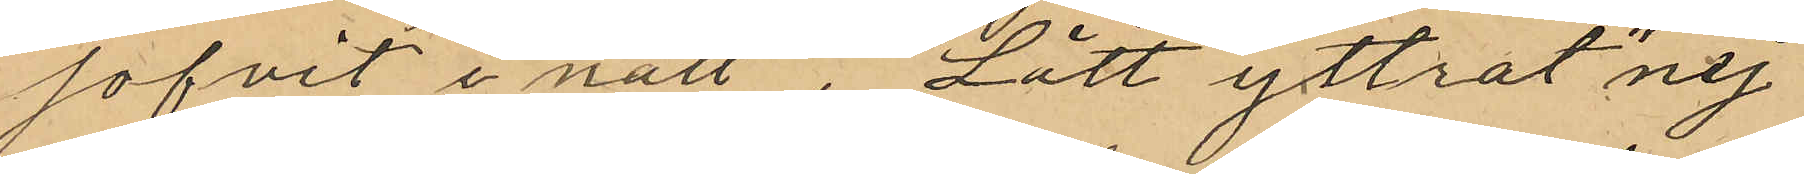sofvit i natt", "Lätt yttrat "nej
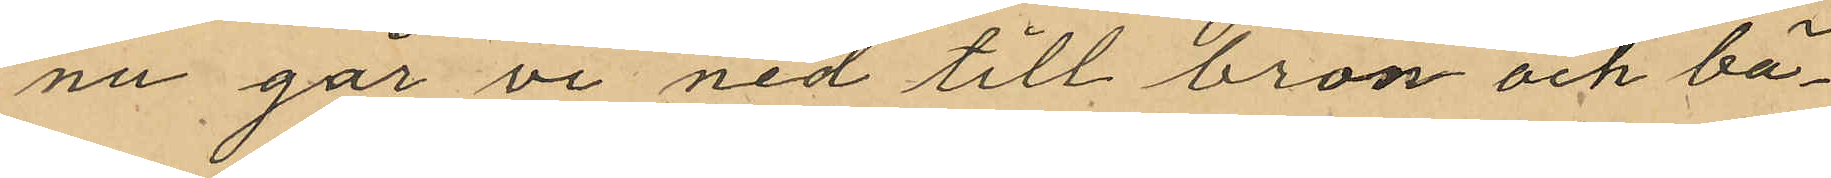nu går vi ned till bron och bä¬
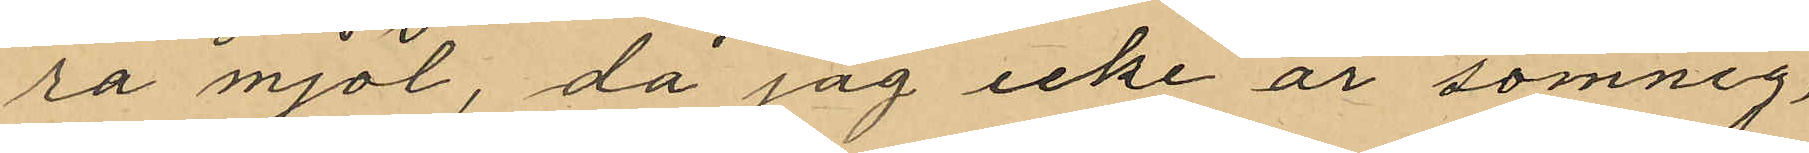ra mjöl, då jag icke är sömnig
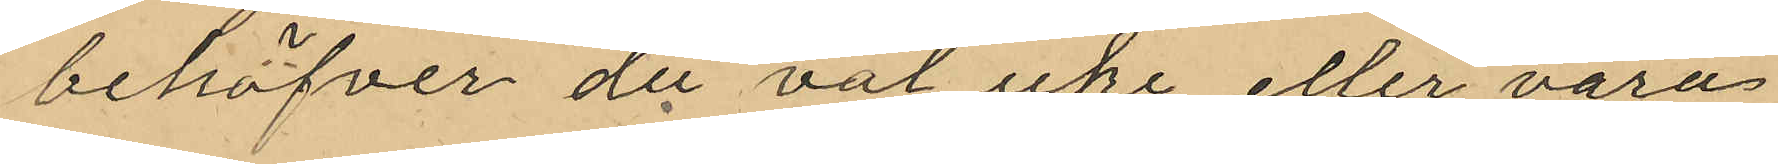behöfver du väl icke eller vara
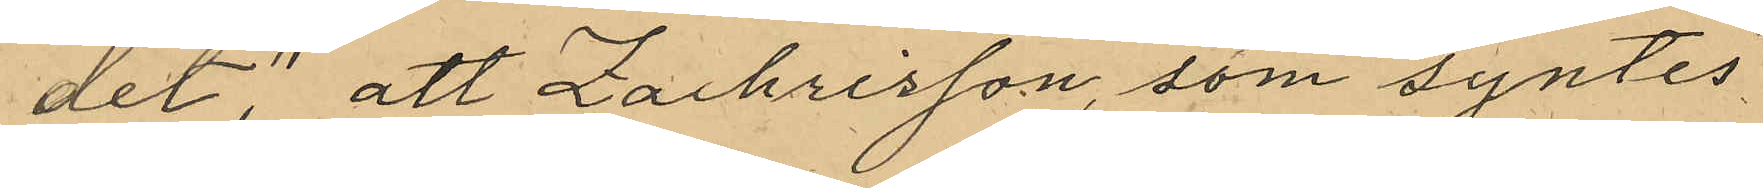det; att Zachrisson, som syntes¬
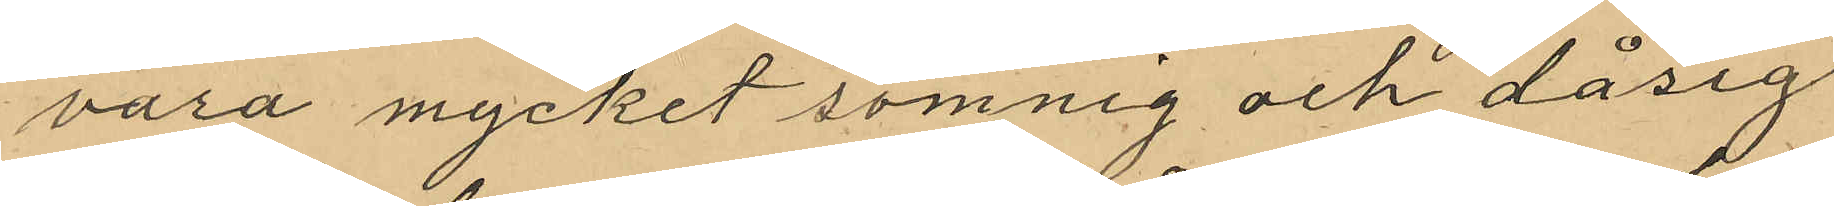vara mycket sömnig och dåsig
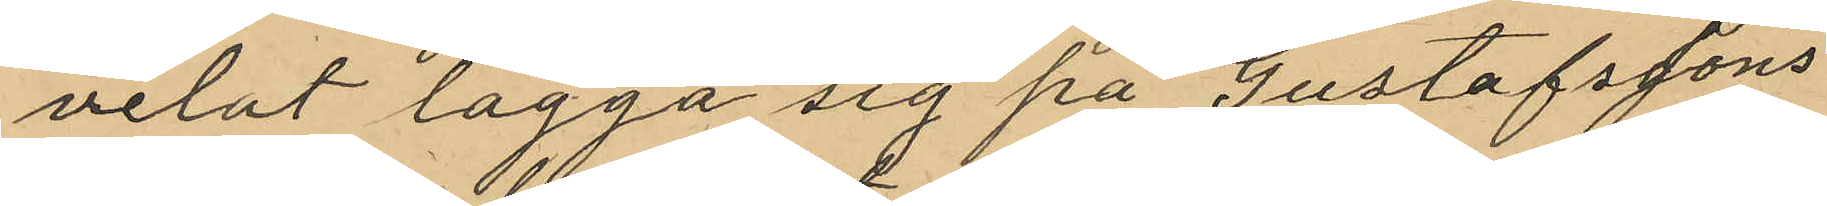velat lagga sig på Gustafssons
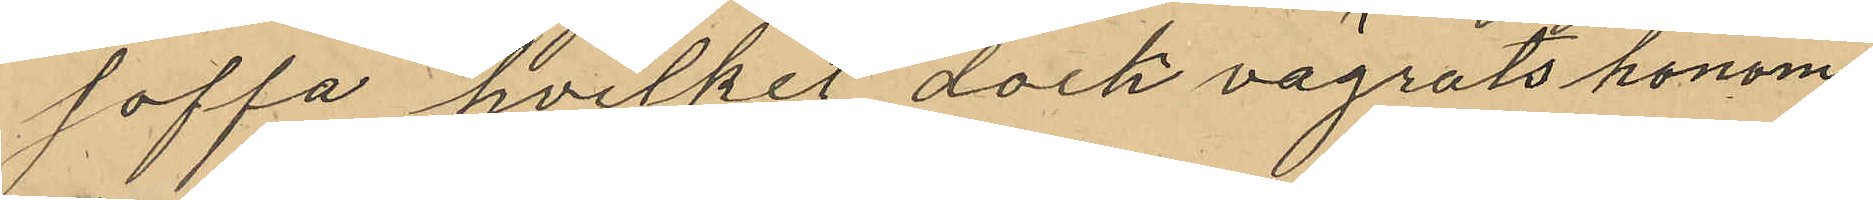soffa hvilker dock vägrats honom
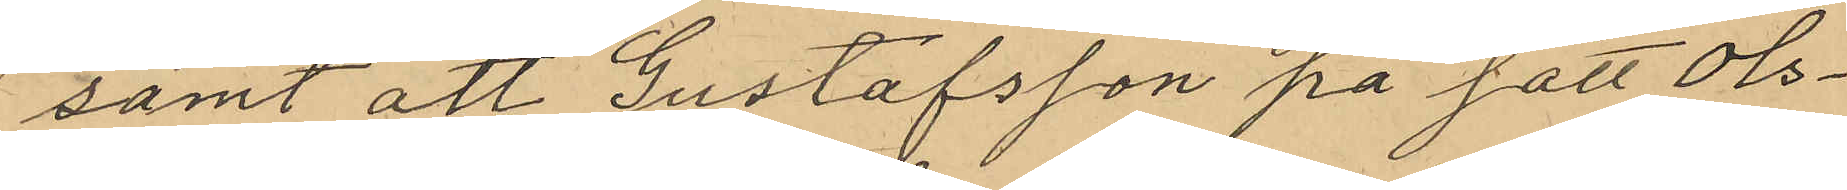samt att Gustafsson på sätt Ols¬
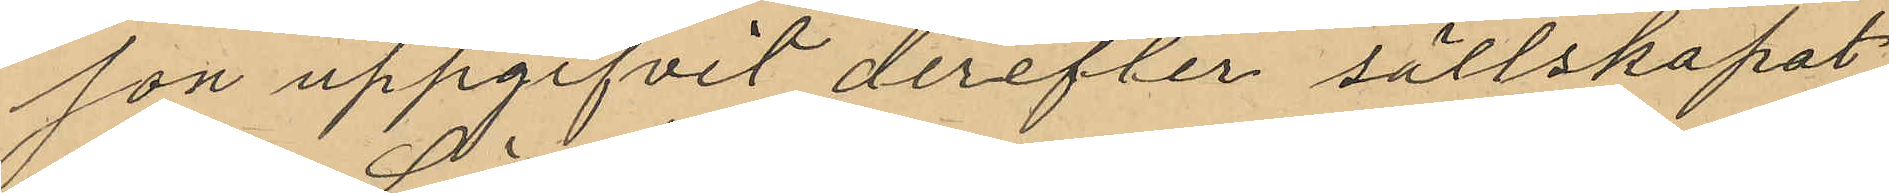son uppgifvit derefter sällskapat
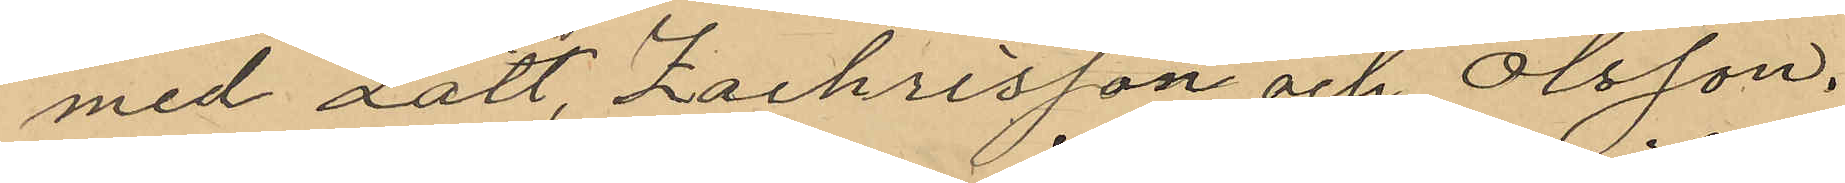med Lätt, Zachrisson och Olsson,
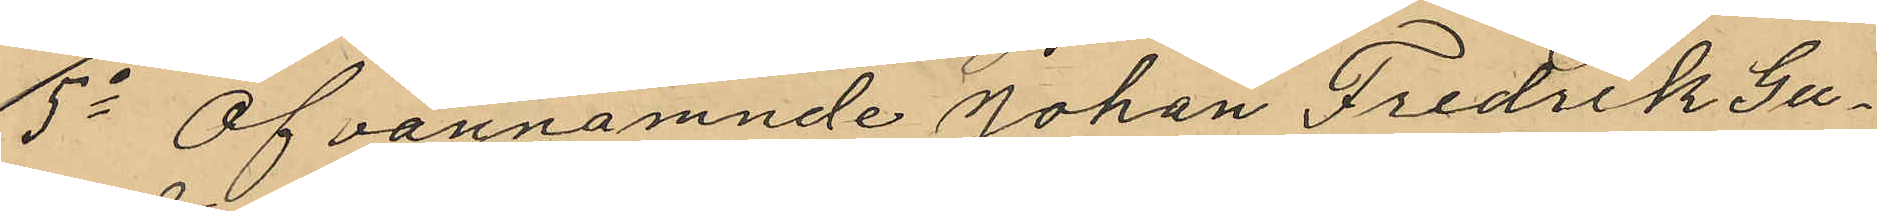5o Ofvannämnde Johan Fredrik Gu¬
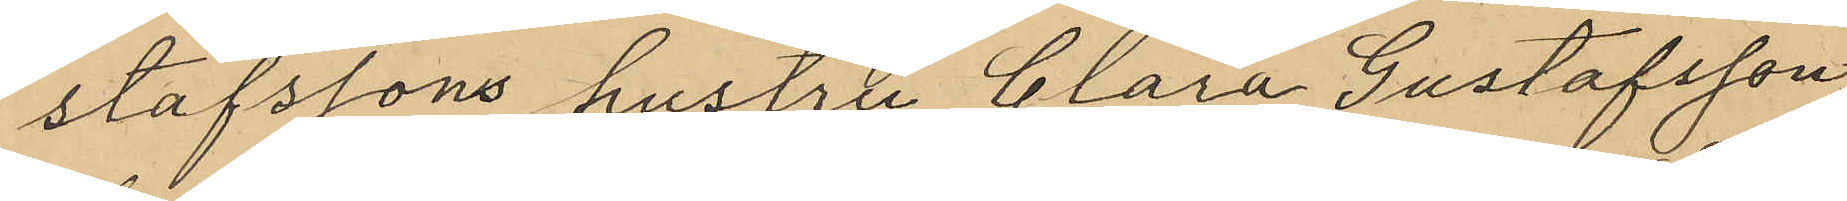stafssons hustru Clara Gustafsson
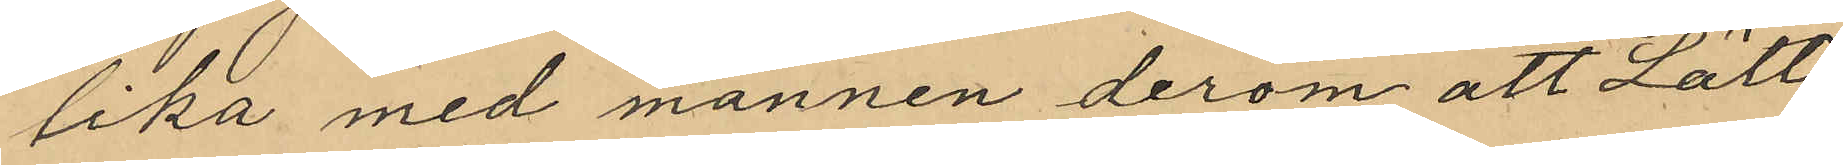lika med mannen derom att Lätt
